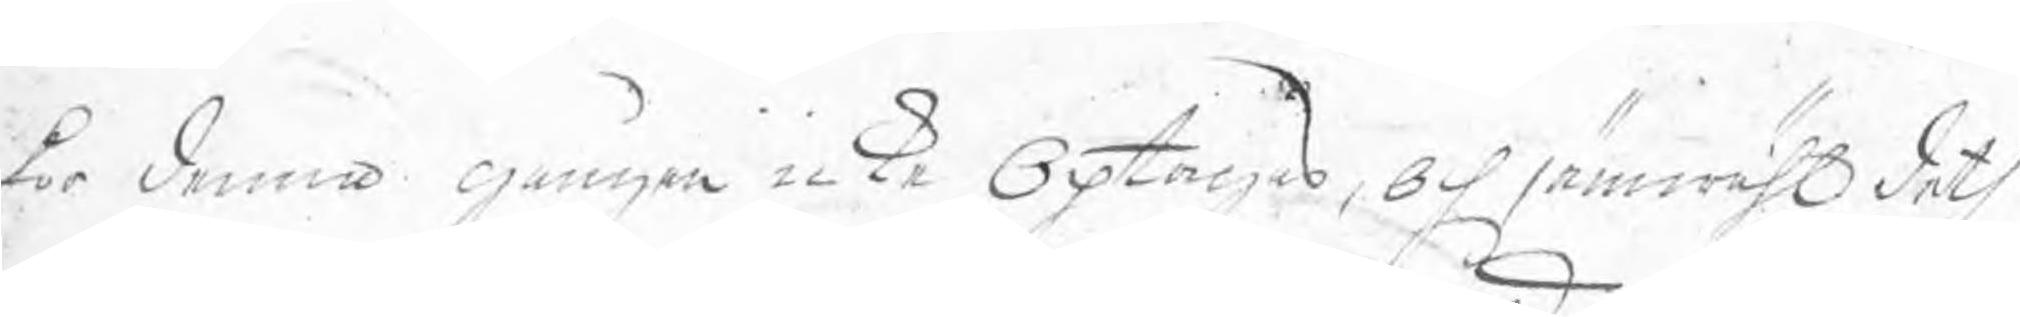för denna gången icke Optages, Och jämwähl deth
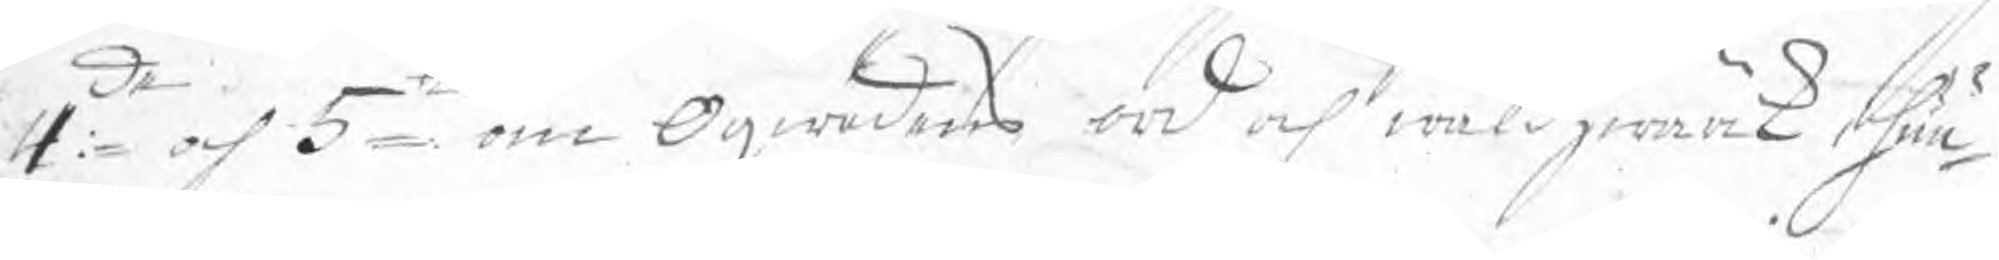4:de och 5te om Oqwädens ord och wåldzwärk i huu¬
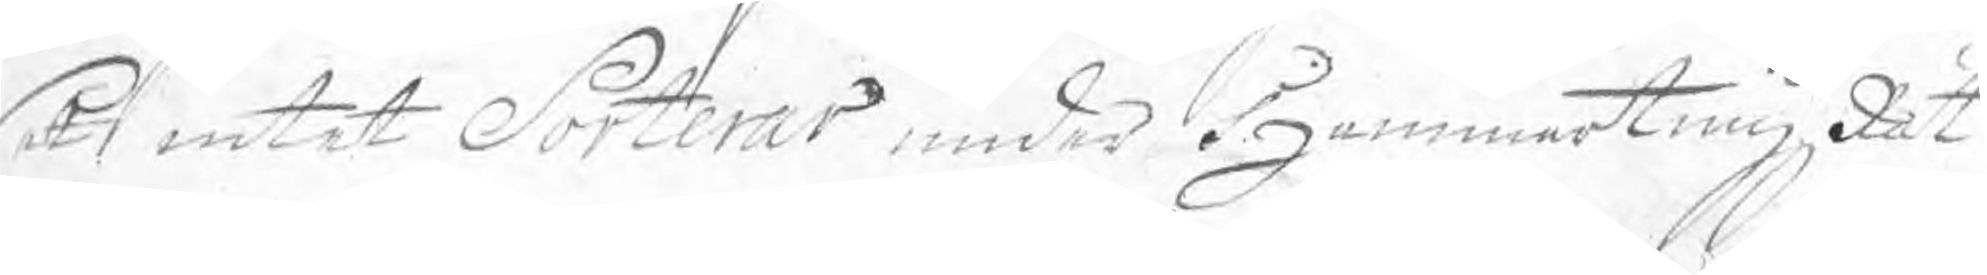et intet Sorterar under HammartingzRät¬
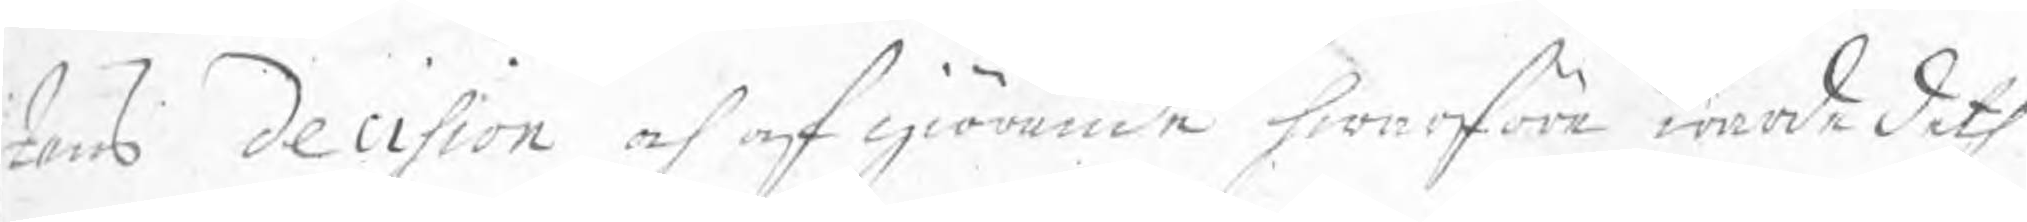tens decision och afgiörande hwarföre warde deth
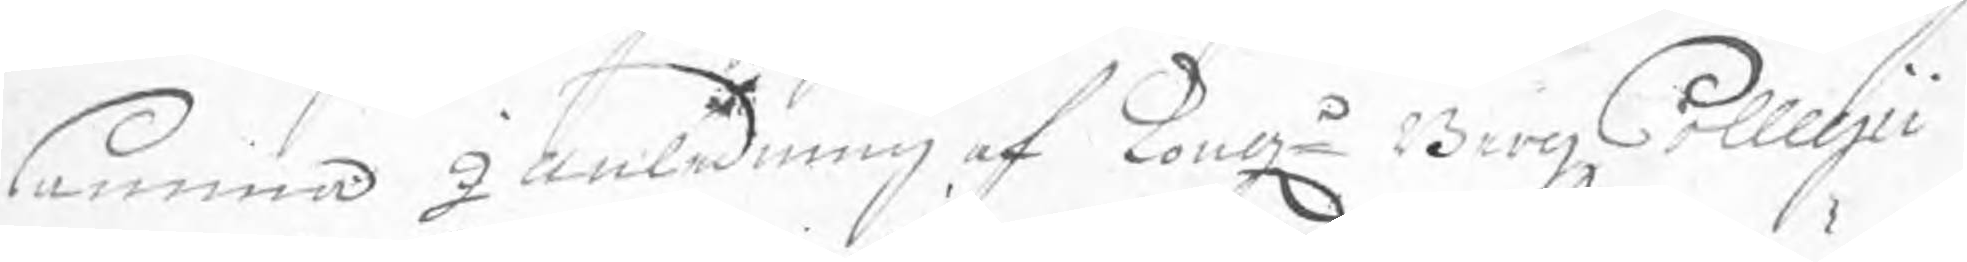samma I anledning af Kong. BergzCollegii
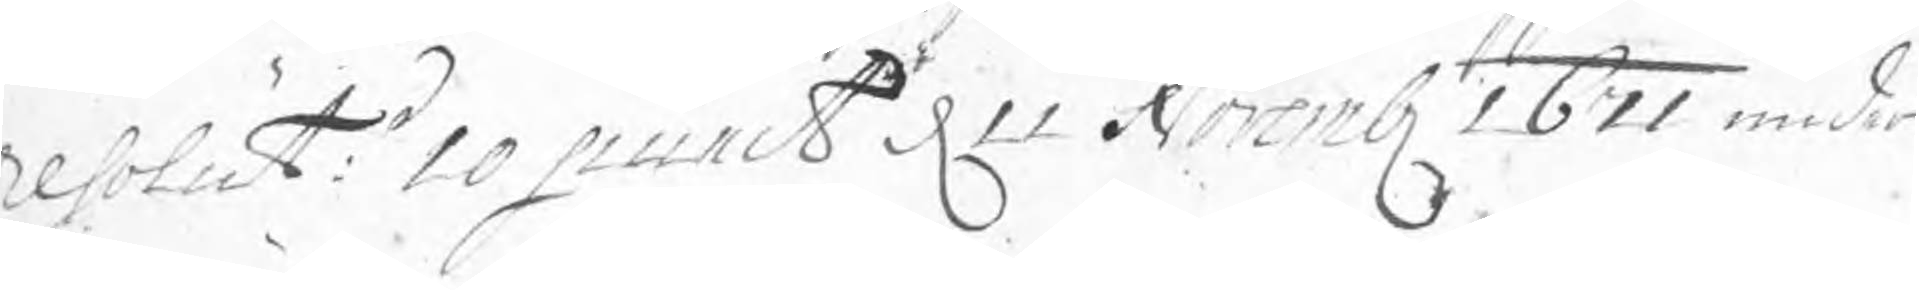resolut:s 10 punct d 11 Novemb 1671 under
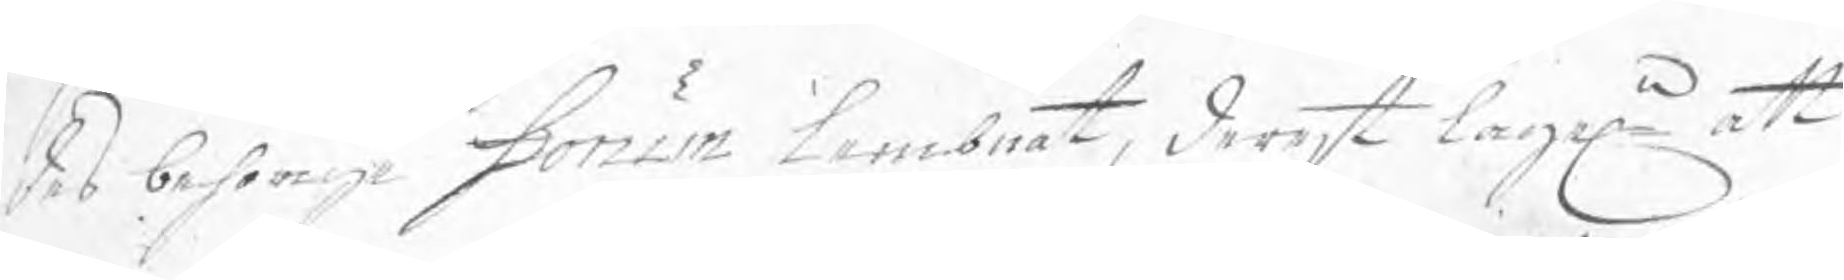des behörige Konun lembnat, derest lagen att
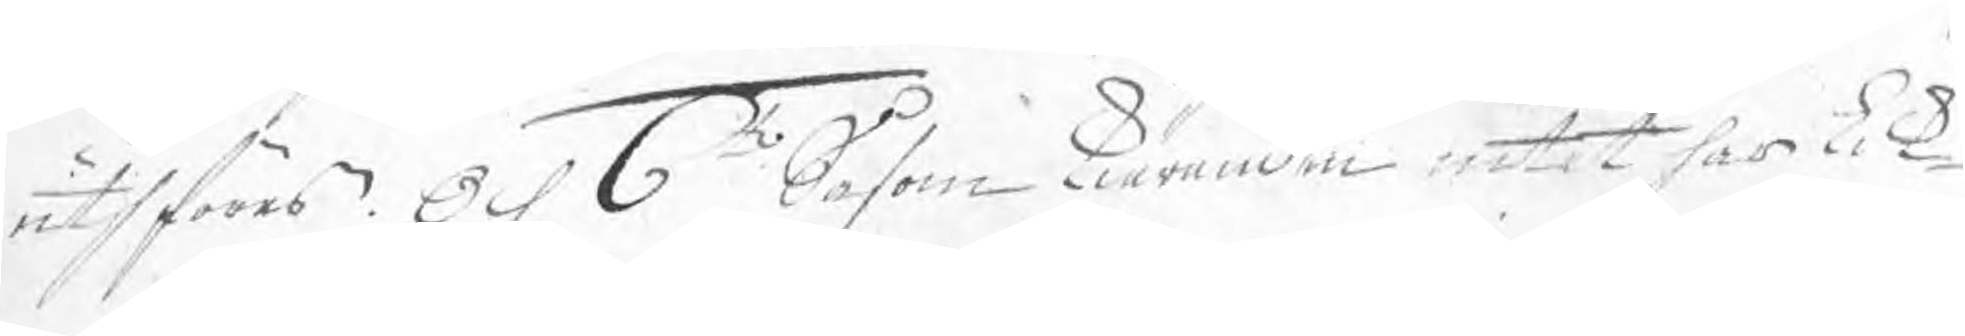uthföras. Och 6to Såsom kiäranden intet har lik¬
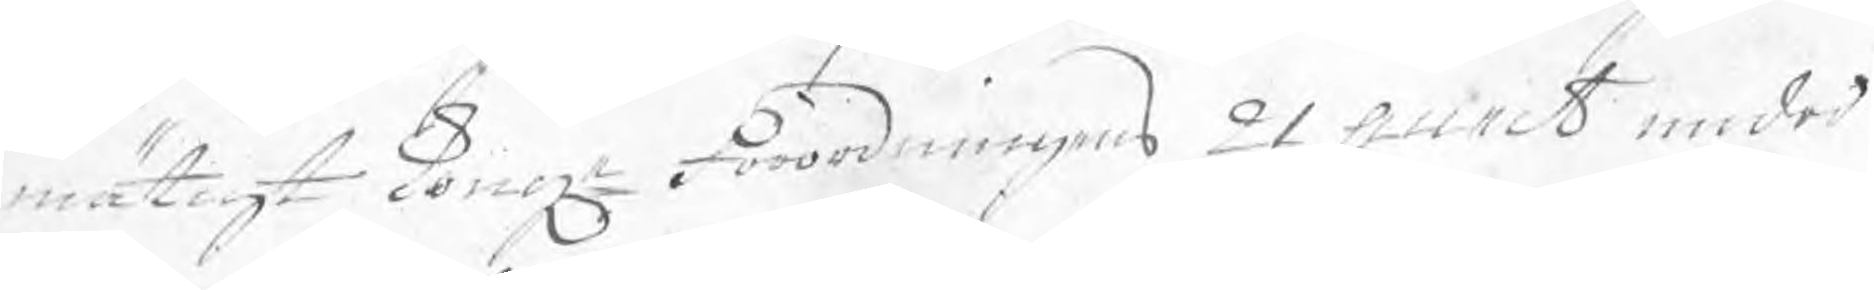mätigt Konge Förordningens 21 punct under
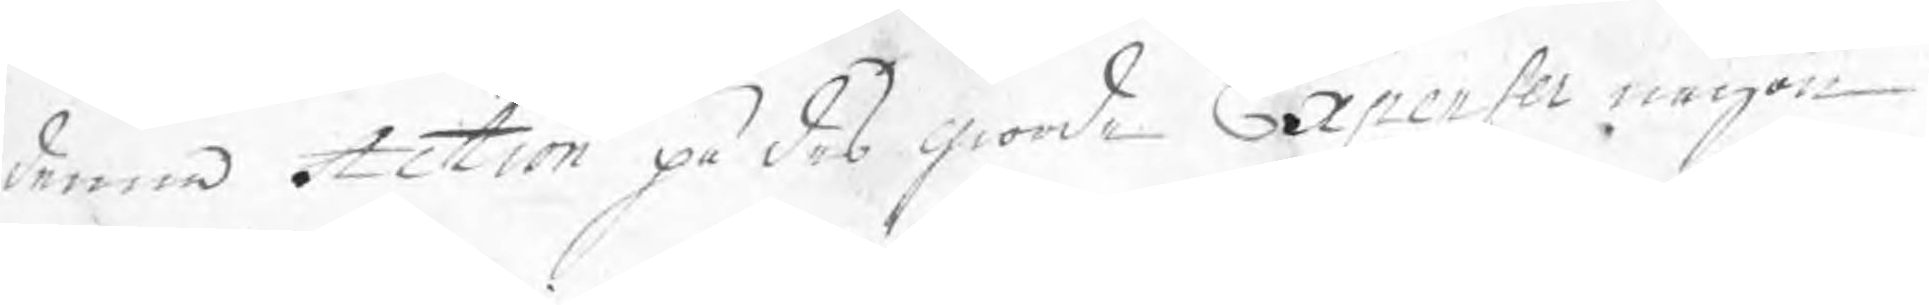denna Action på des giorde Expenser någon
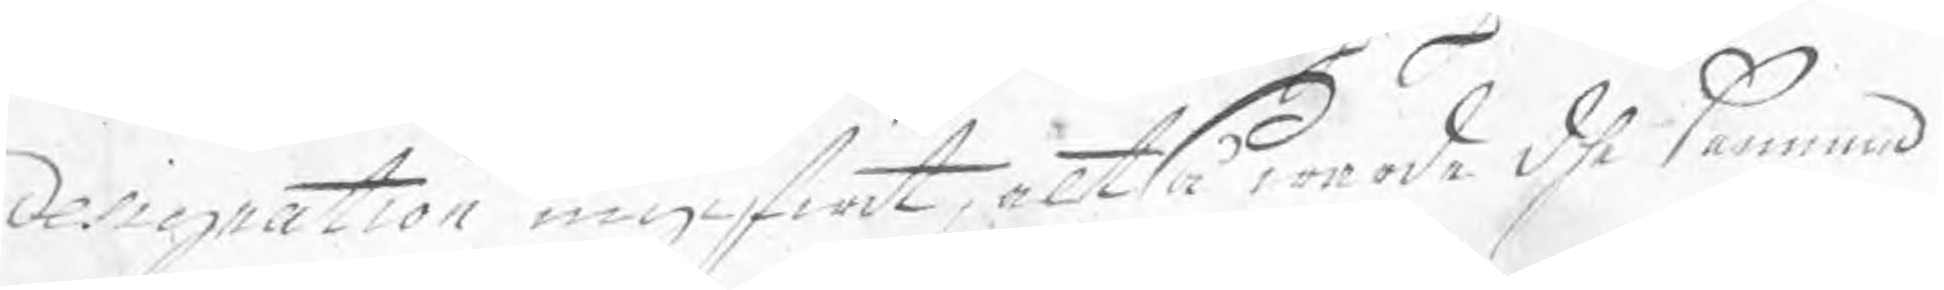delignation ingifwit, altså worde dhe samma
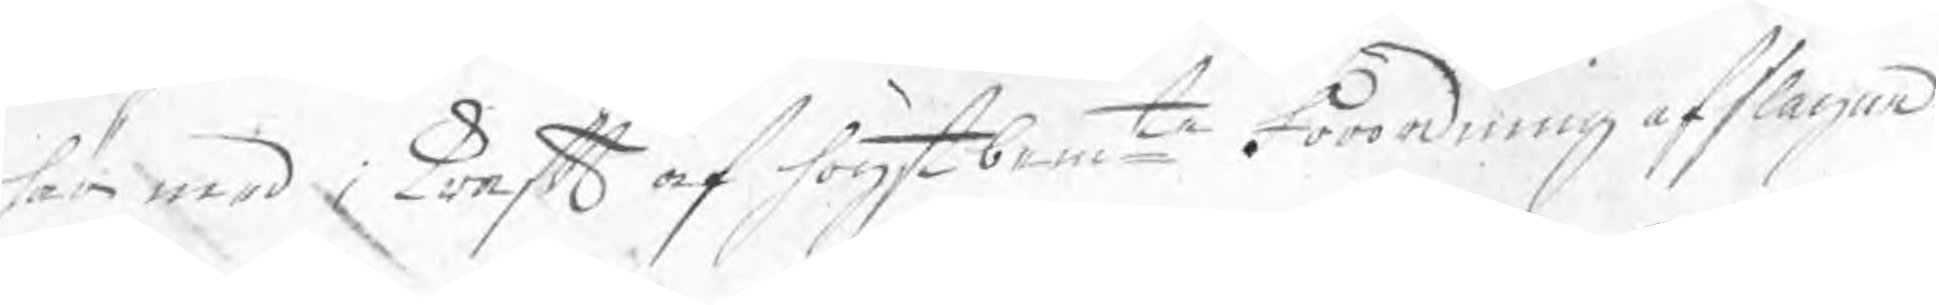här med i kraft af högst bemte Förordning afslagne.
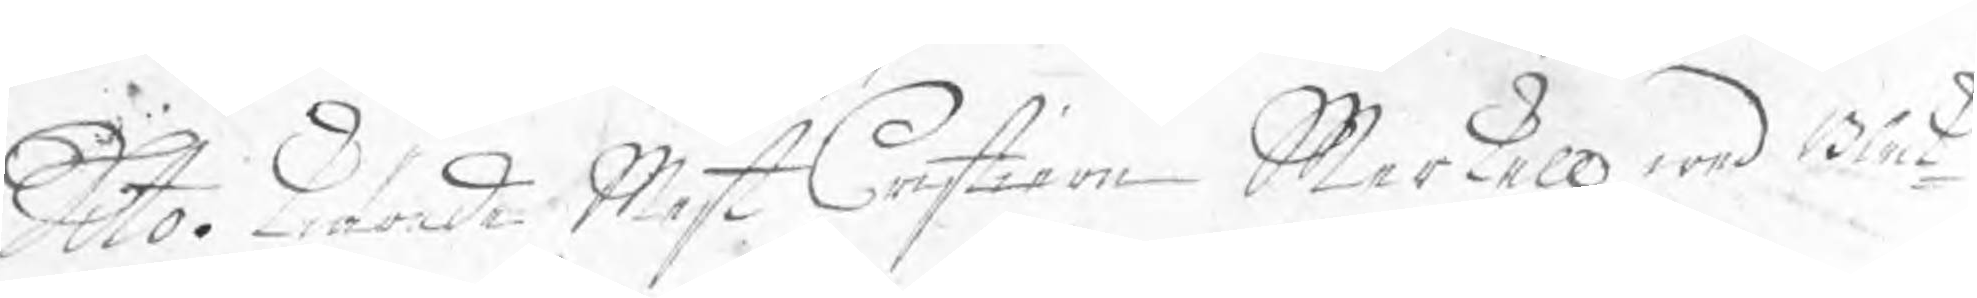Dito. Kiärade Mest Cristian Merkell wed Blek¬
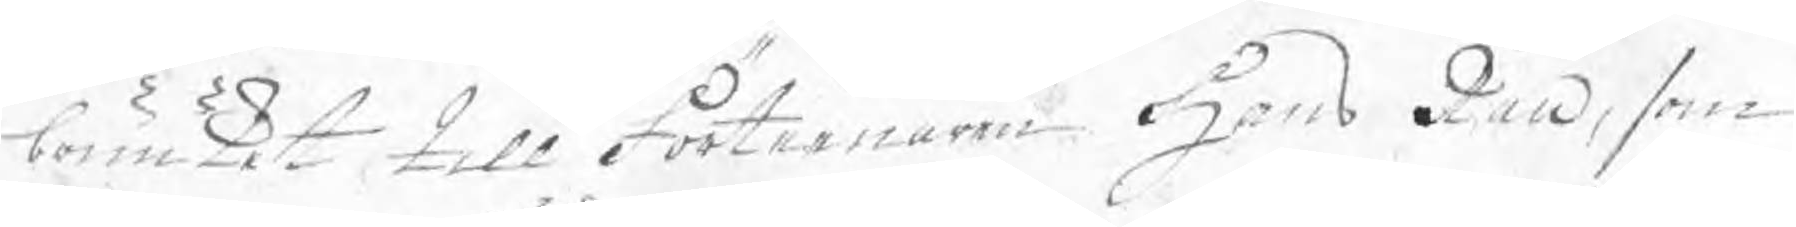bruuket till Förteenaren Hans Rau, som 
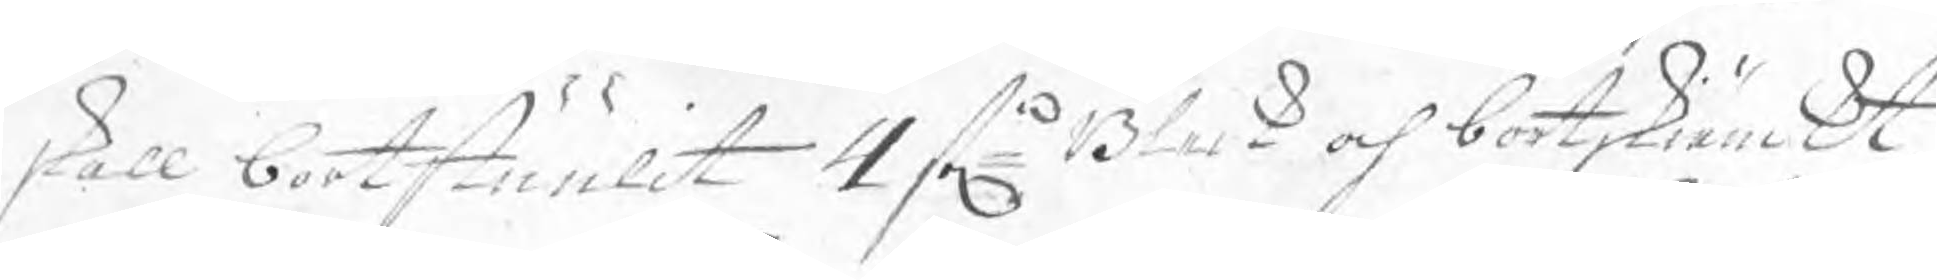skall bortstuulit 4 stn Bleck och bortskiänckt,
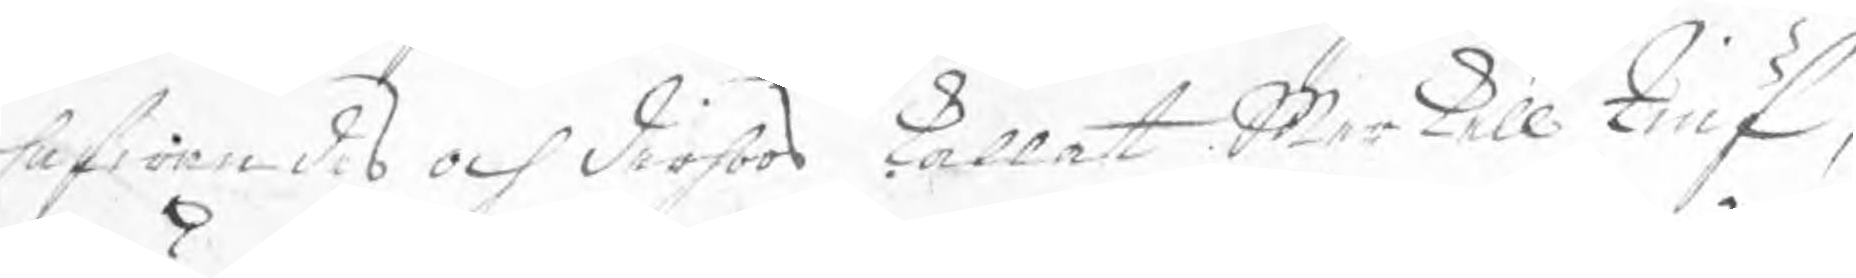hafwandes och derhoos kallat Merkell tiuf,
